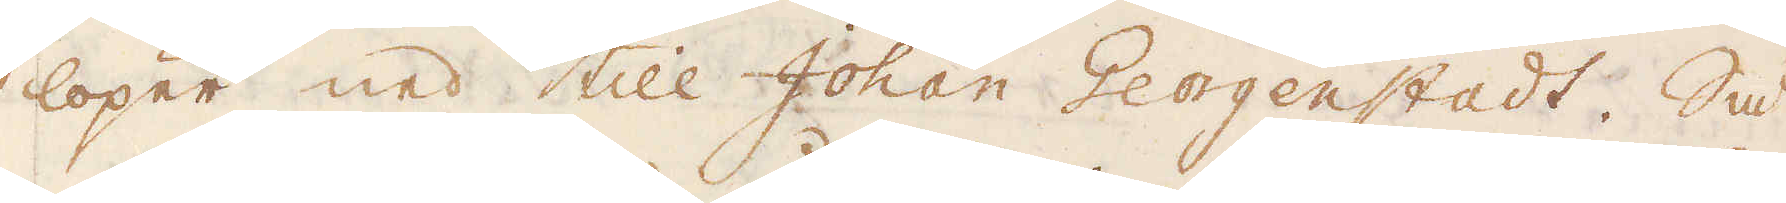löper ned till Johan Georgenstadt. Så
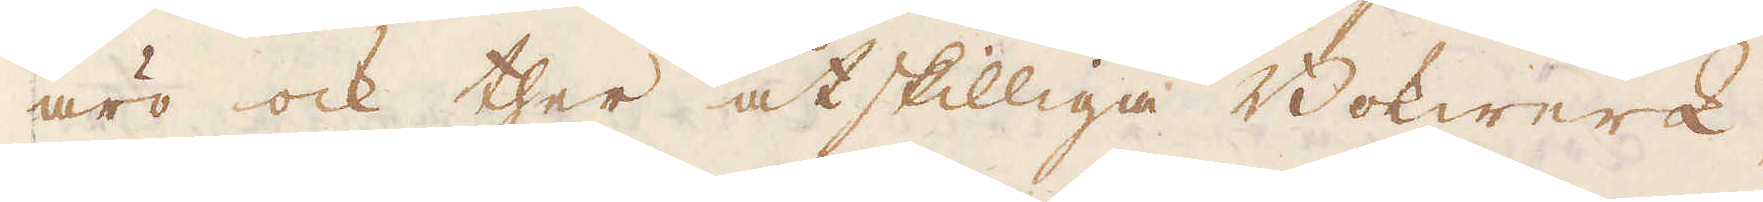äro ock ther åtskilliga Bokwerk,
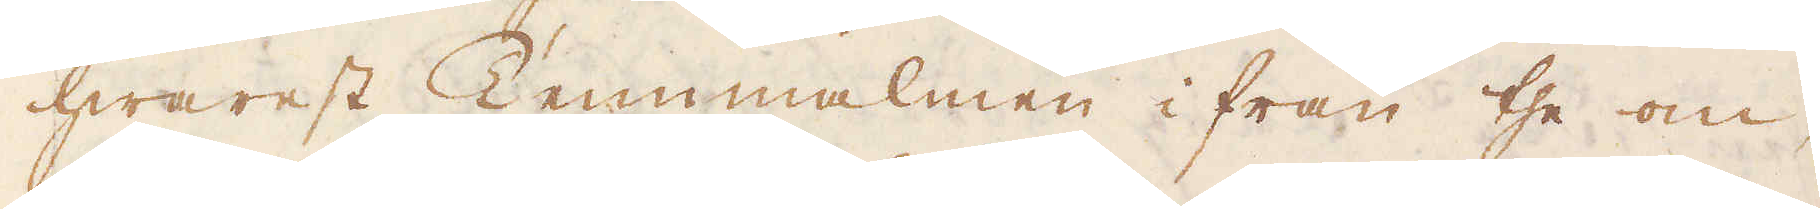hwarest Tennmalmen ifrån the om-
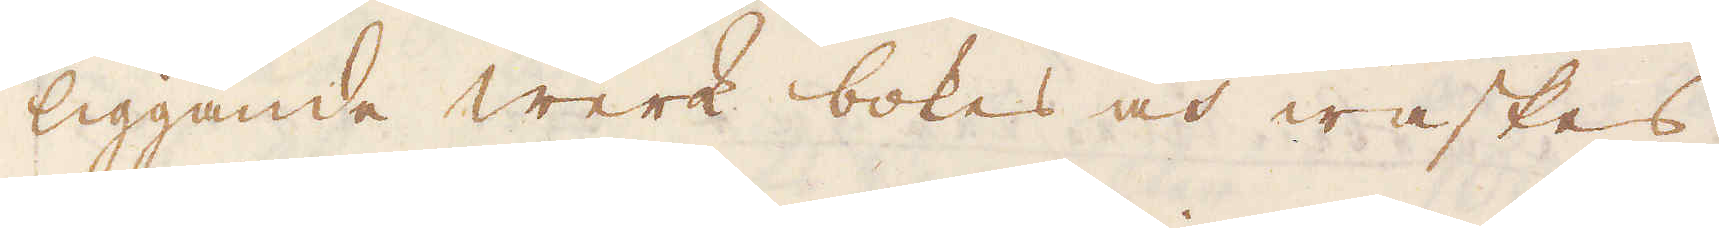liggande werk bokes och waskes.
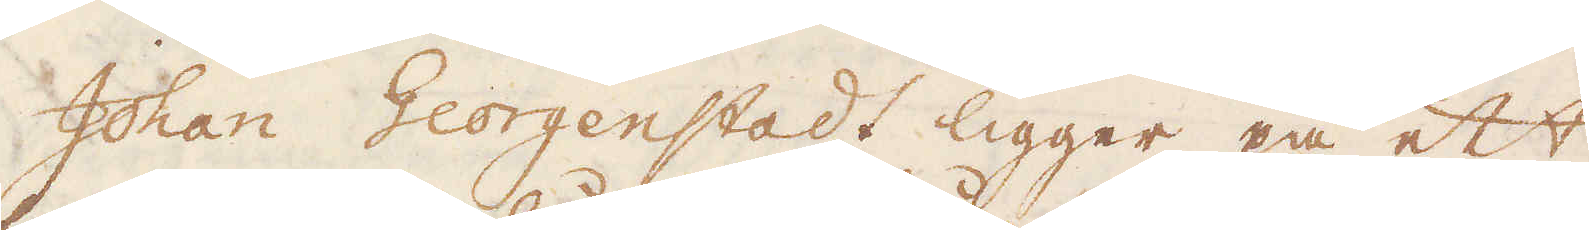Johan Georgenstadt ligger på ett
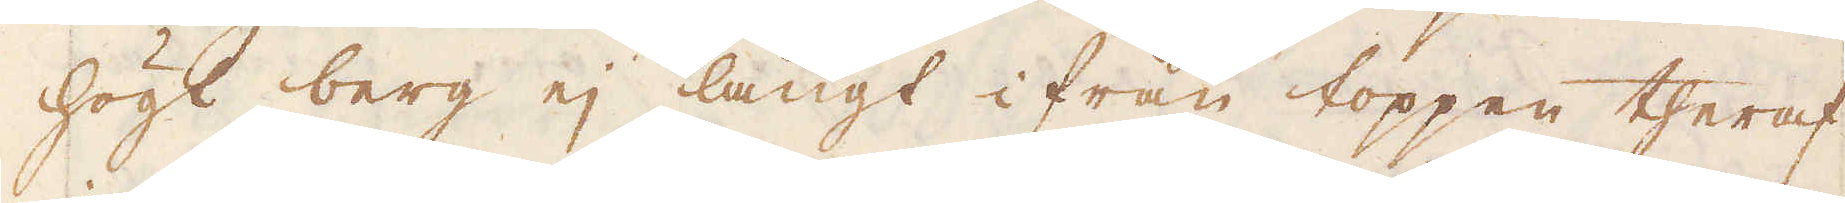högt berg ej långt ifrån toppen theraf
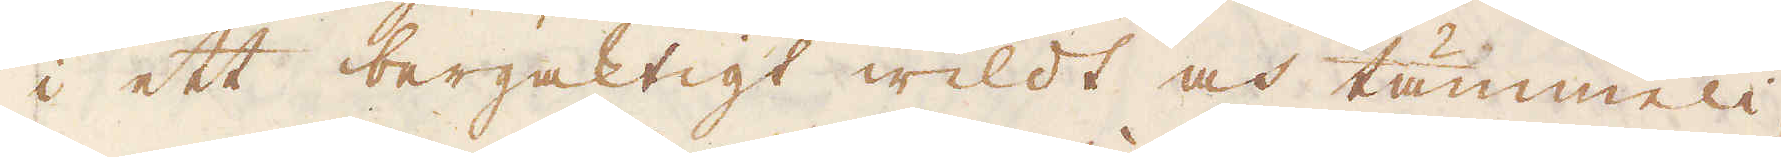i ett bergaktigt wildt och tämmeli-
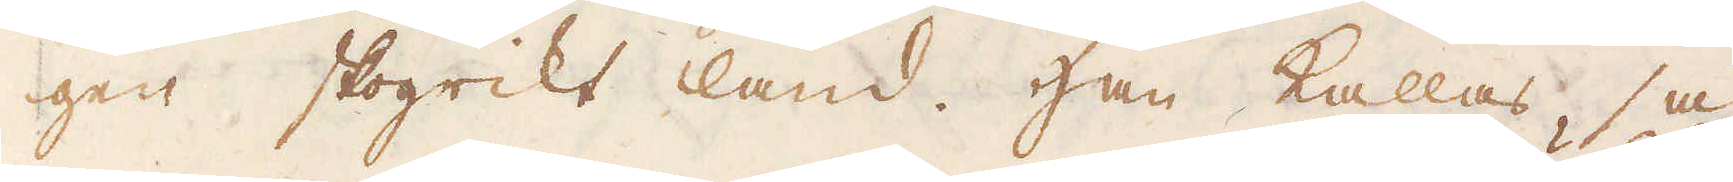gen skogrikt land. Han kallas så
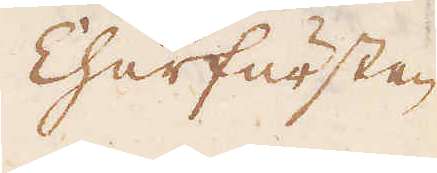Churfursten
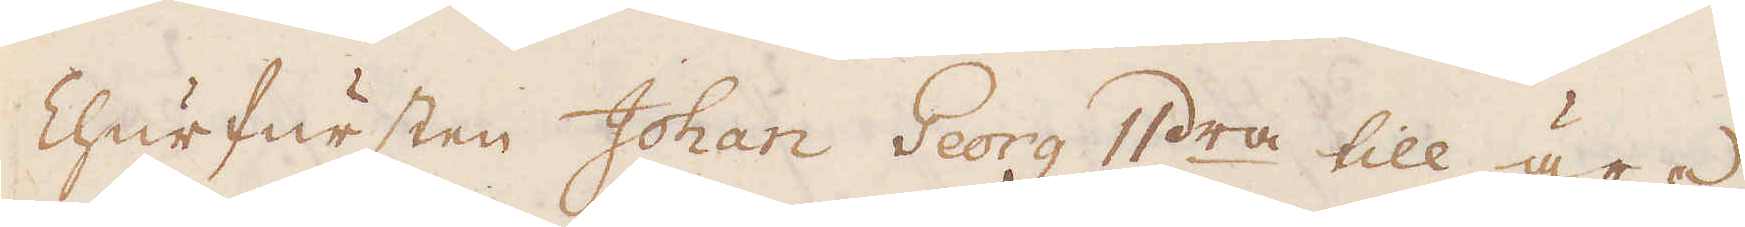Churfursten Johan Georg IIdra till ära,
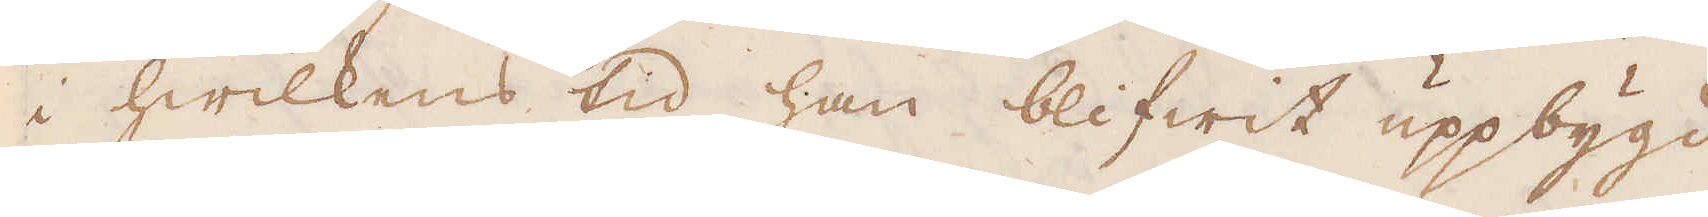i hwilkens tid han blifwit uppbygd
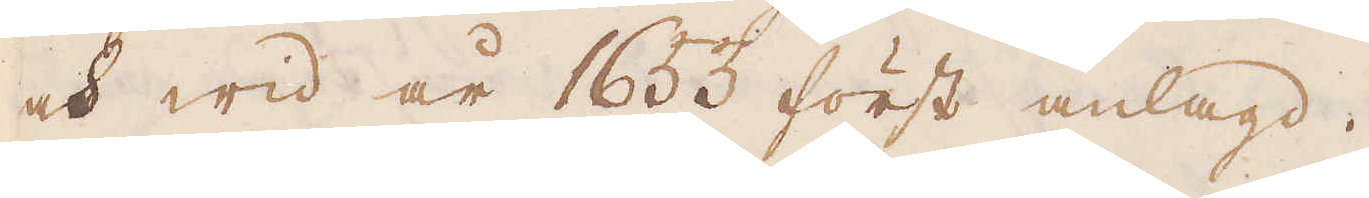och wid år 1653 först anlagd.
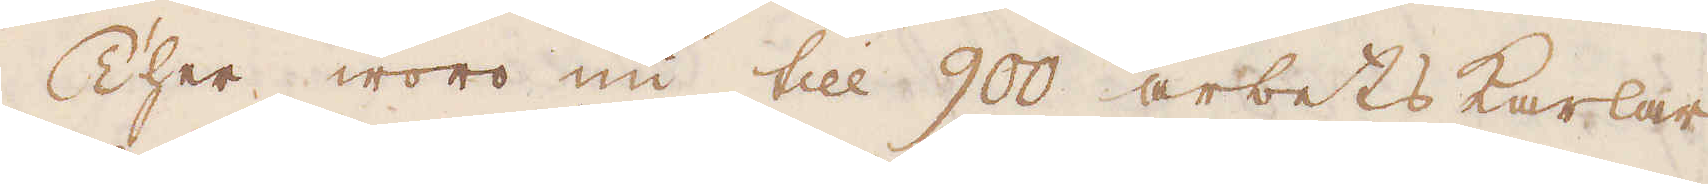Ther woro nu till 900 arbetskarlar
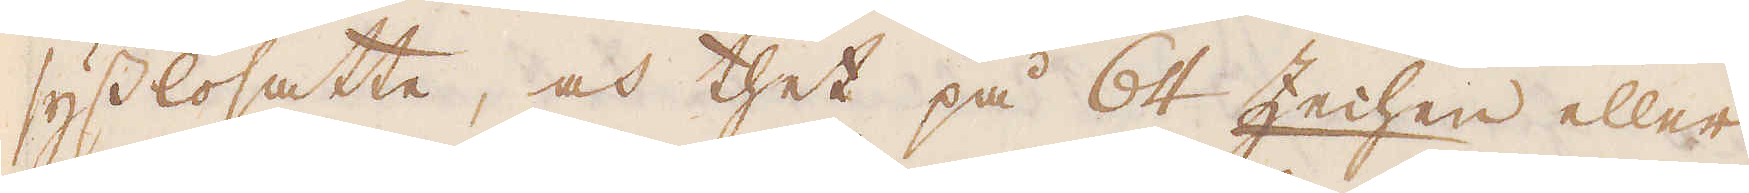sysslosatte, och thet på 64 Zeihen eller
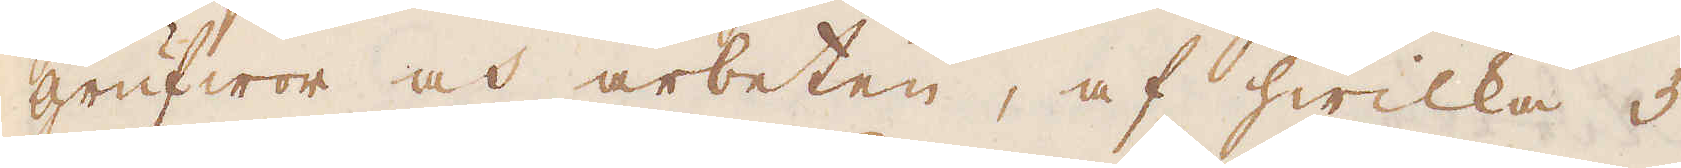grufwor och arbeten, af hwilka 5
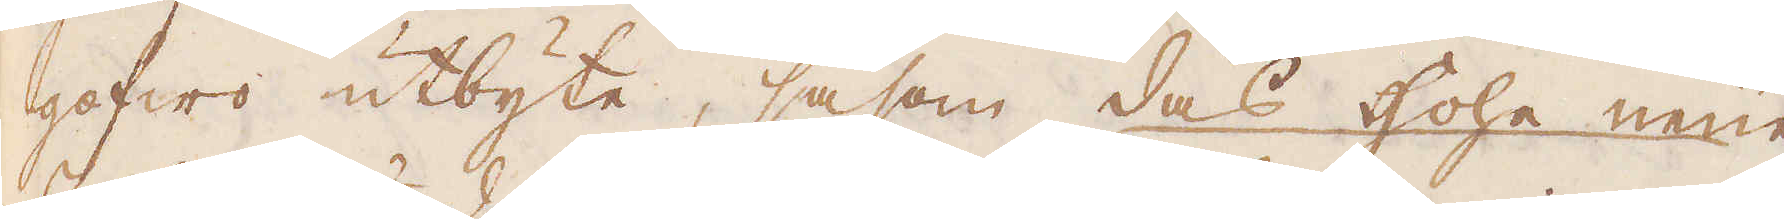gofwo utbyte, såsom das Hohe neue
